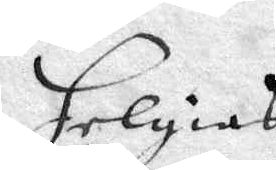Helgias i
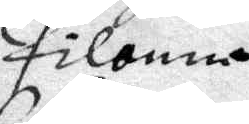Pilonna
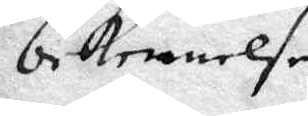bekennelse.
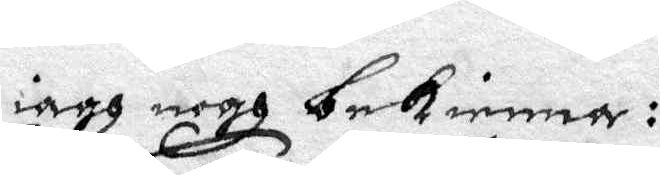iagh nogh bekienner:
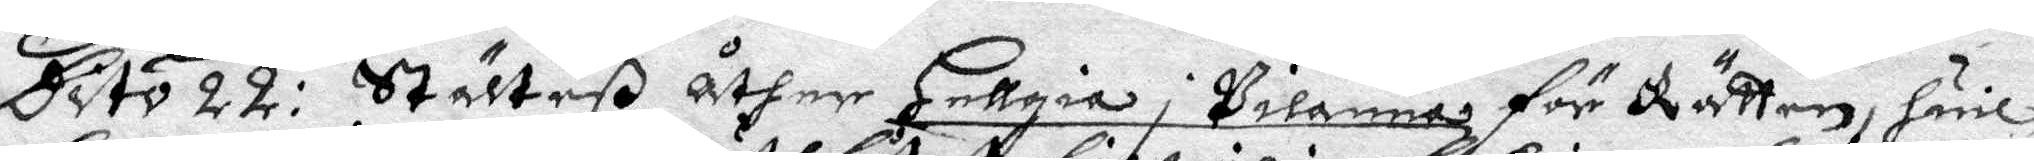Dito 22: Stälteß åther Hellgiar i Pilanna för Rätten, hwil¬
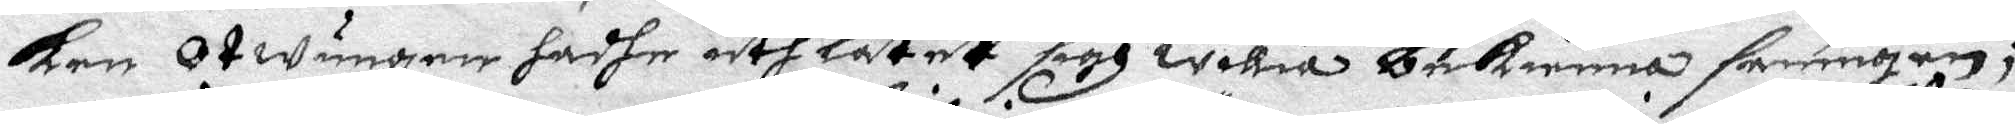ken Otwungen hadhe uth låtett sigh willia bekienna saningen;
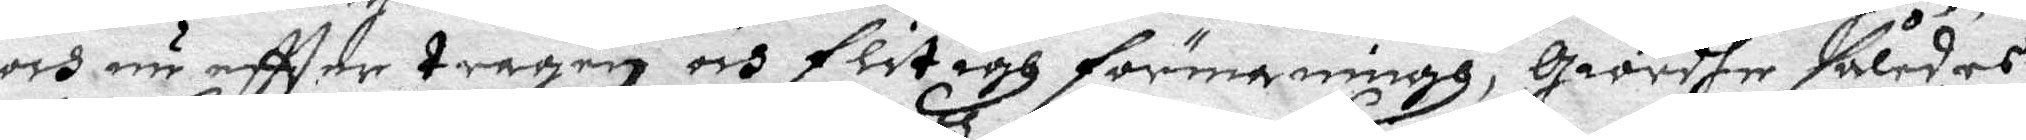och nu effter trägen och flitigh förmaningh, Giordher således
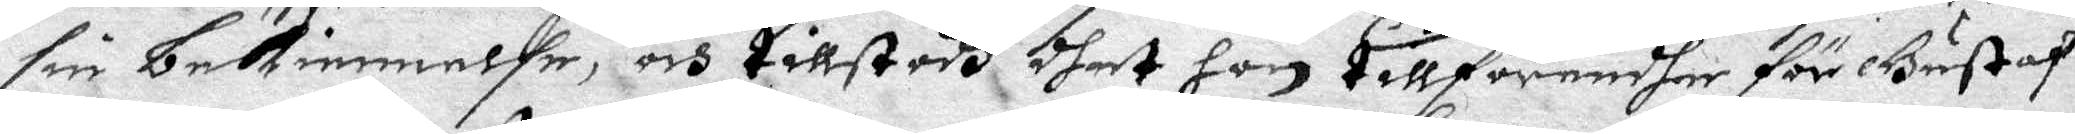sin bekinnelse, och tillstodh dhet hon tillförendher för Gustaf¬
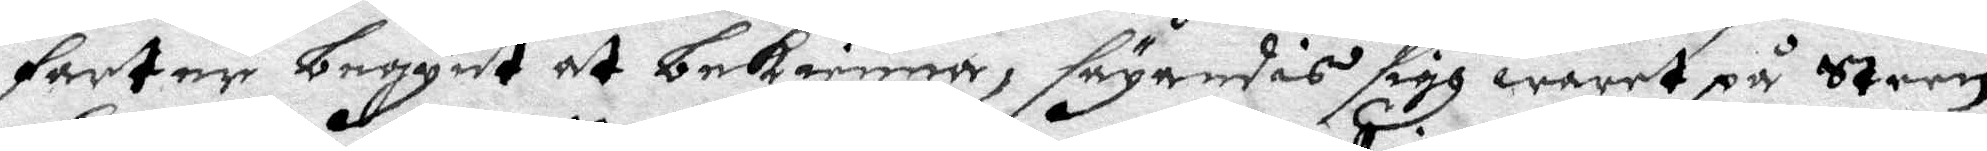Fartner begynt at bekienna, säyandes sigh waret på Steen
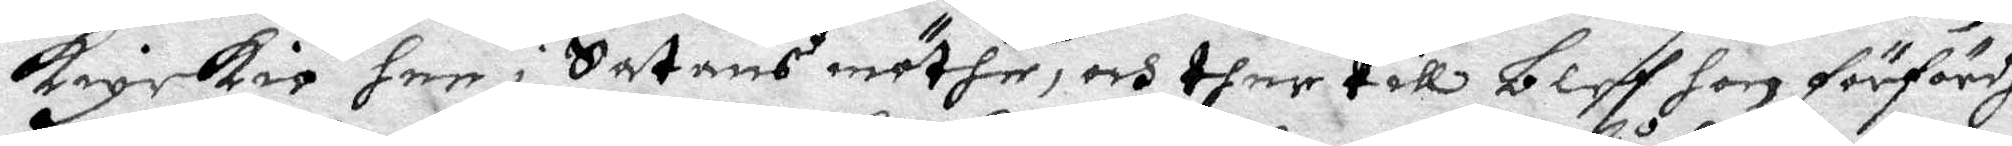kiyrkio hen i Satans möthe, och ther till bleff hon förfördh
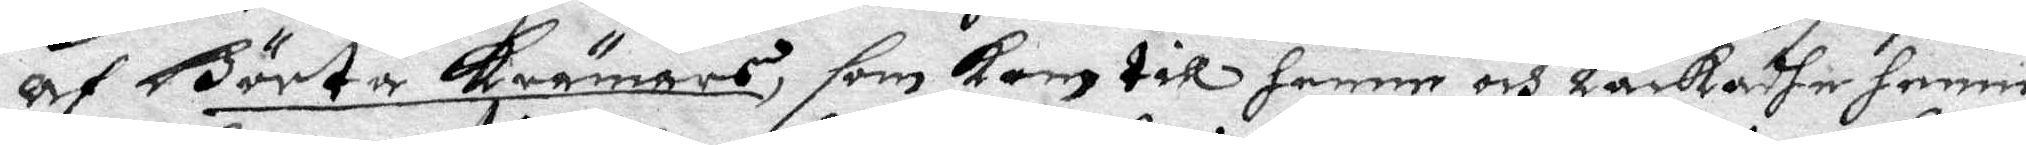af Börta krämars, som kom till henne och låckadhe henne
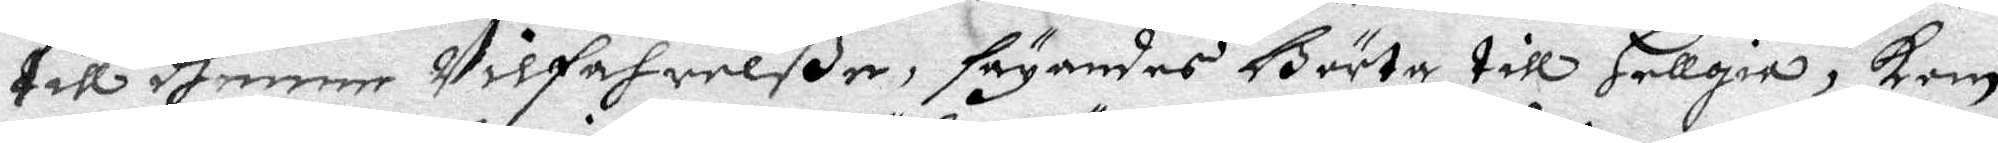till dhenne Wilfahrelße, säyandes Börta till Hellgia, kom
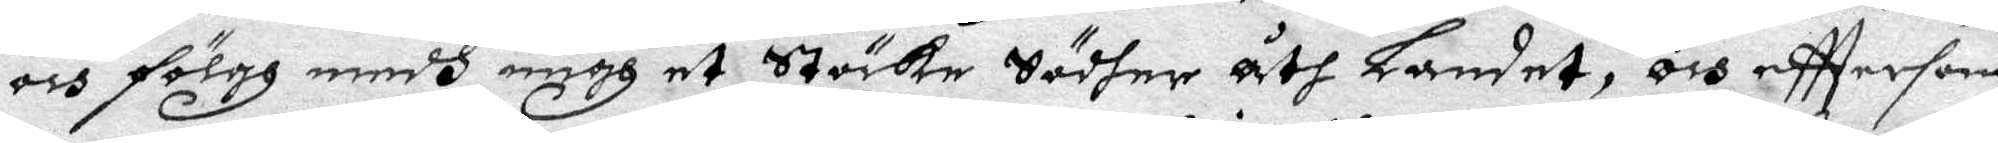och fölggh medh migh et Stöcke södher åth Landet, och efftersom
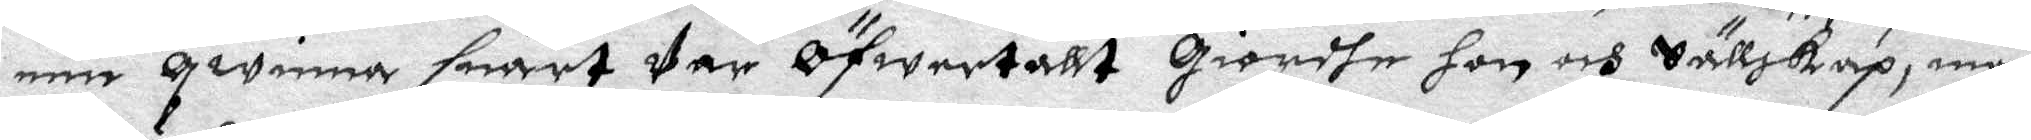een qwinna snart Var öfwertallt giordhe hon och Sällskap, men
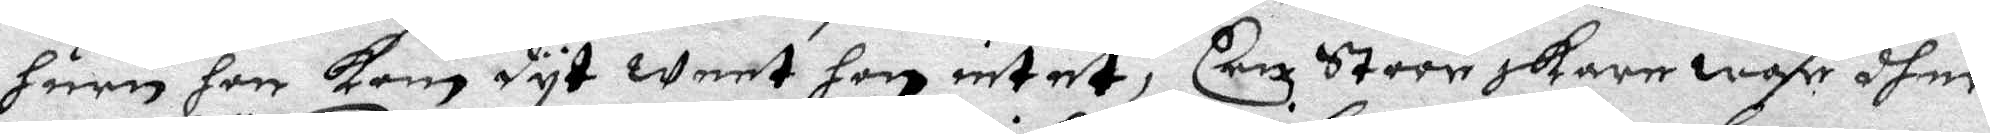huru hon kom dyt weet hon intet, Een Stoor skare war dher
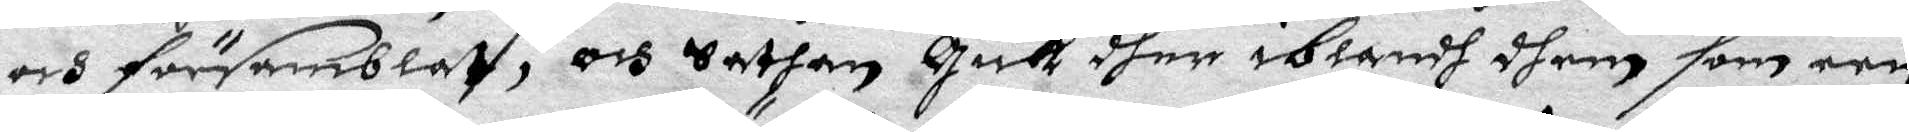och församblatt, och Sathan gick dher iblandh dhem som een
